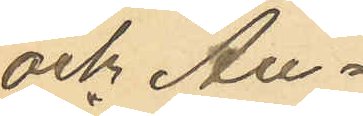och Au¬
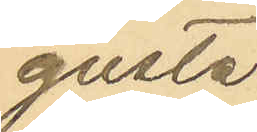gusta
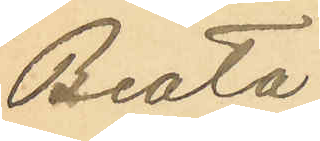Beata
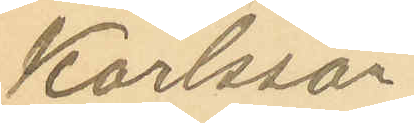Karlsson
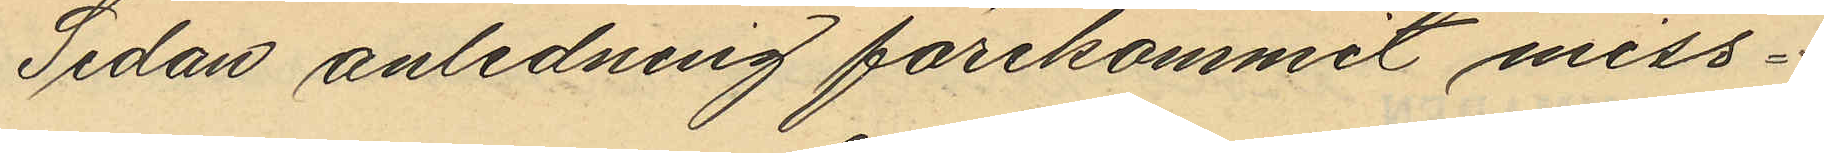Sedan anledning förekommit miss¬
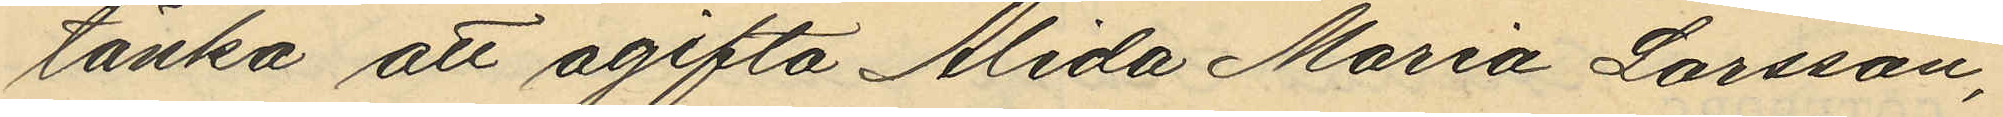tänka att ogifta Alida Maria Larsson,
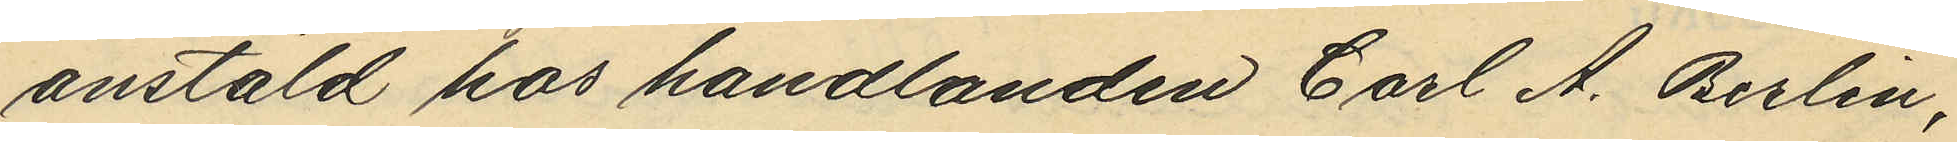anstäld hos handlanden Carl A. Berlin,
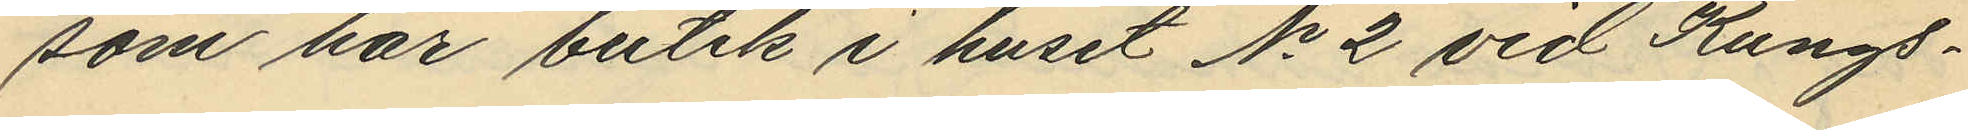som har butik i huset No 2 vid Kungs¬
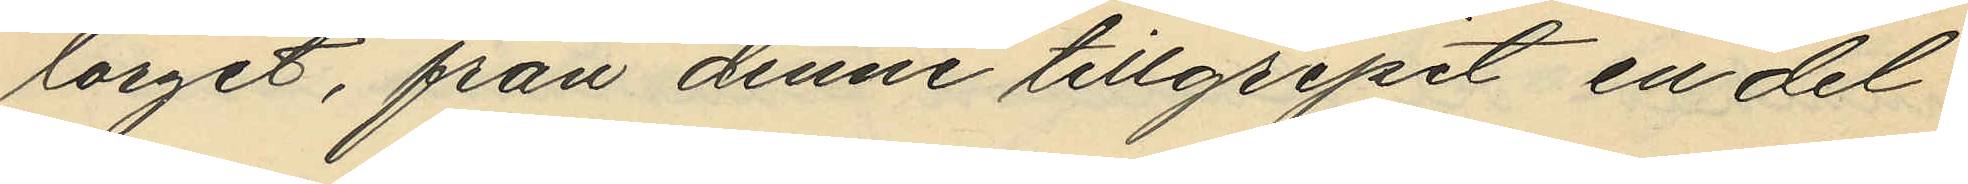torget, från denne tillgripit en del
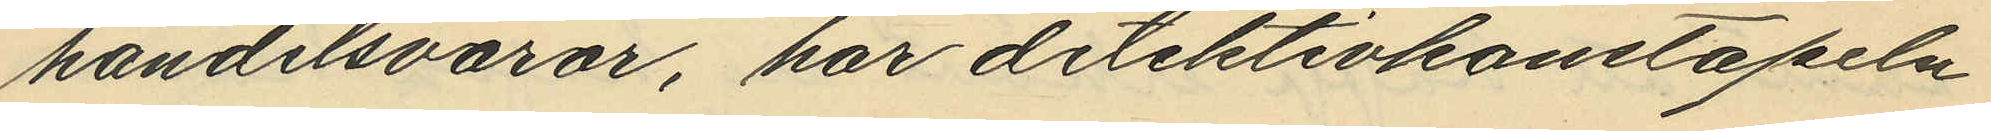handelsvaror, har detektivkonstapeln
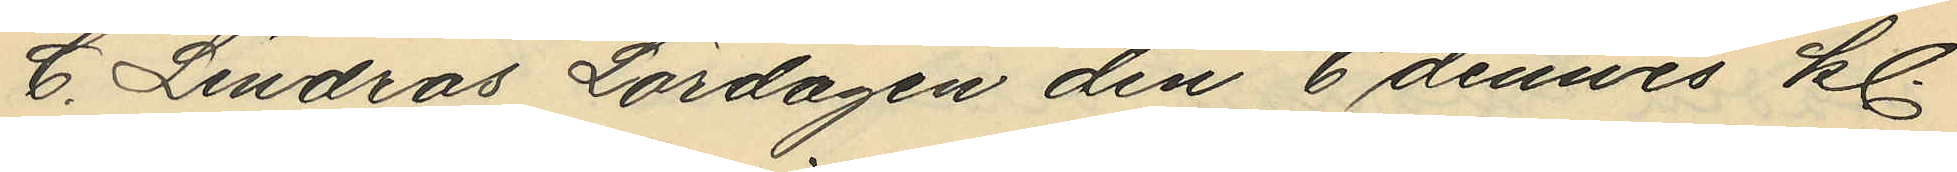C. Lindros Lördagen den 6 dennes kl.
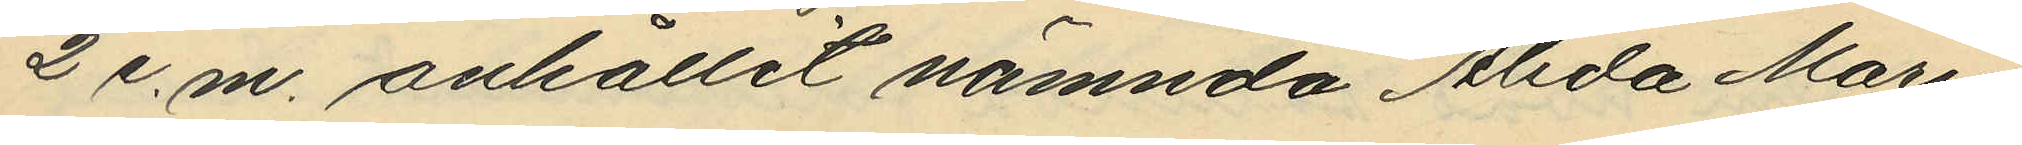2 e.m. anhållit nämnda Alida Maria
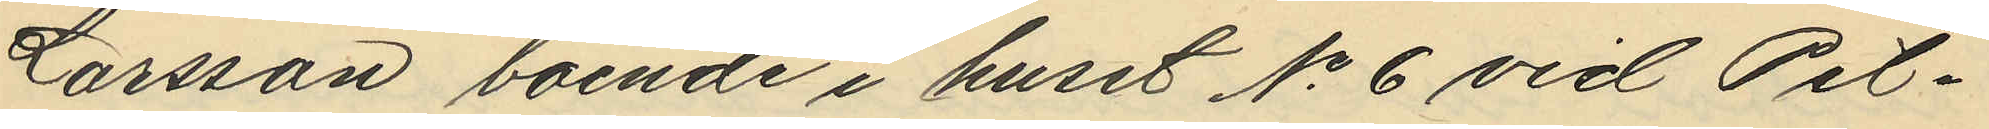Larsson boende i huset No 6 vid Pil¬
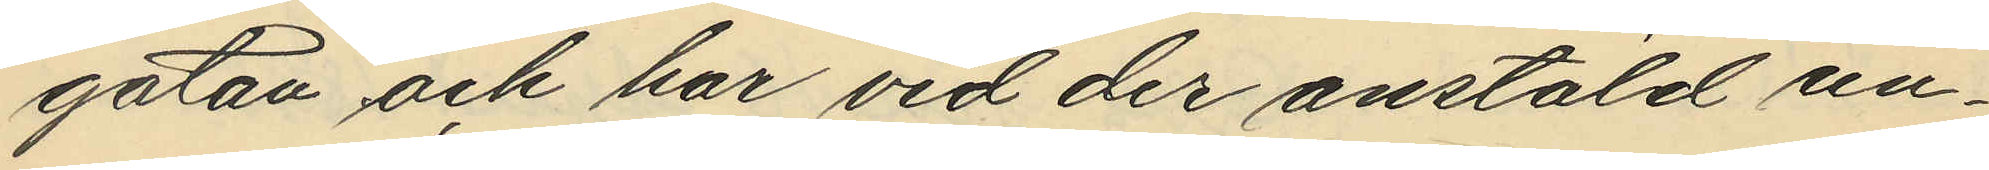gatan och har vid der anstäld un¬
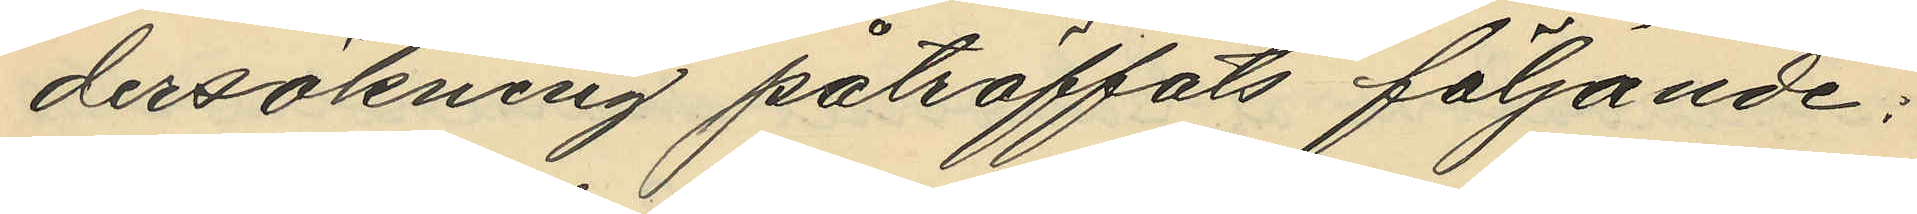dersökning påträffats följande;
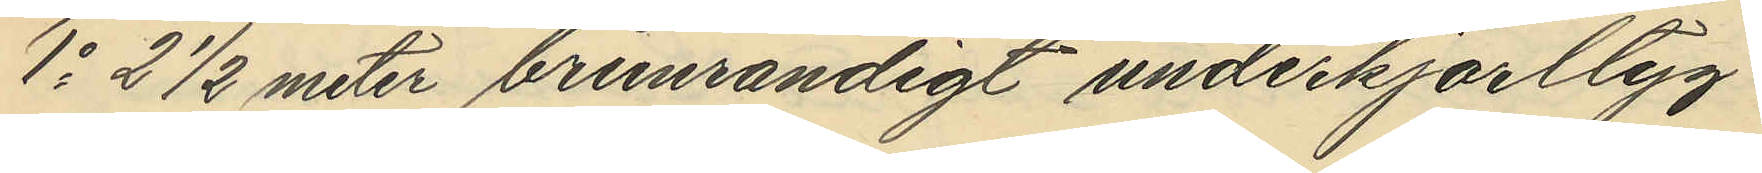1o 2 1/2 meter brunrandigt underkjorltyg
